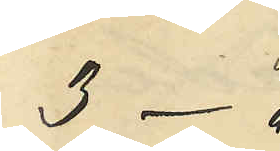3 -"
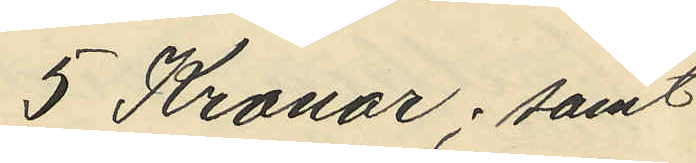5 Kronor; samt
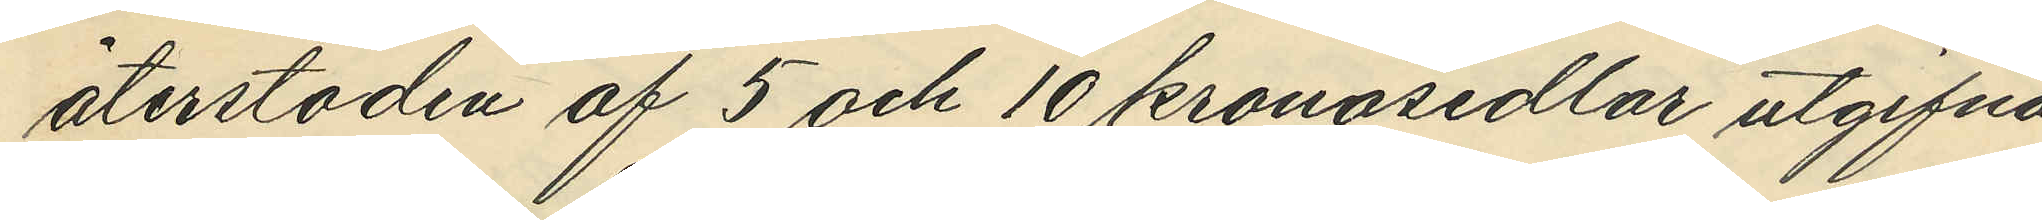återstoden af 5 och 10 kronosedlar utgifna
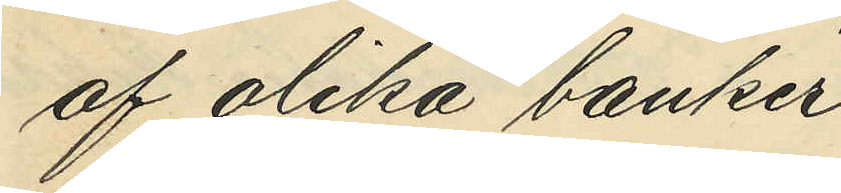af olika banker.
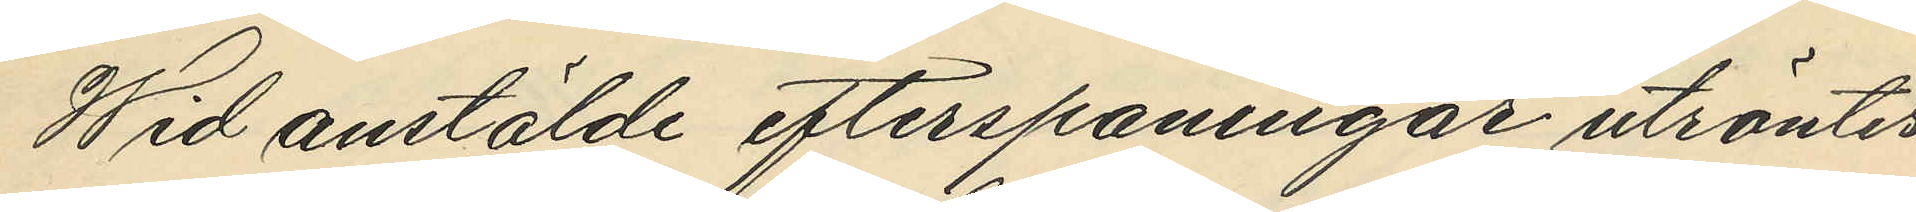Wid anstälde efterspaningar utröntes
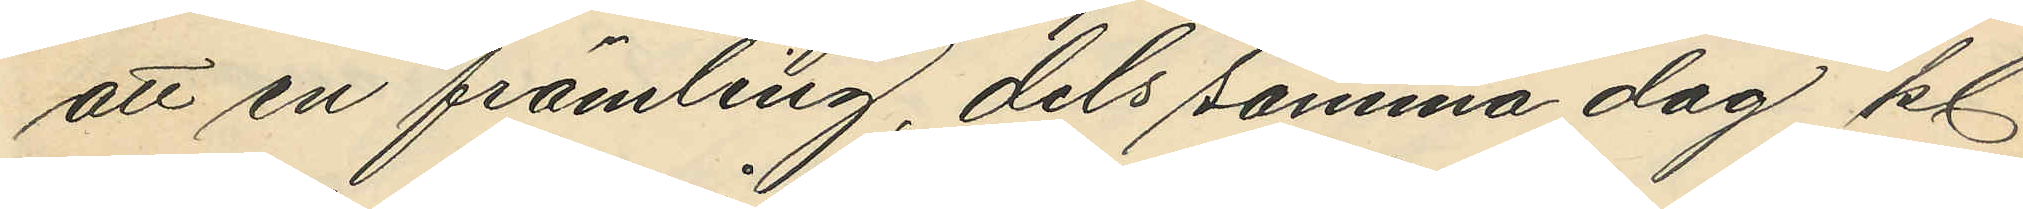att en främling, dels samma dag kl
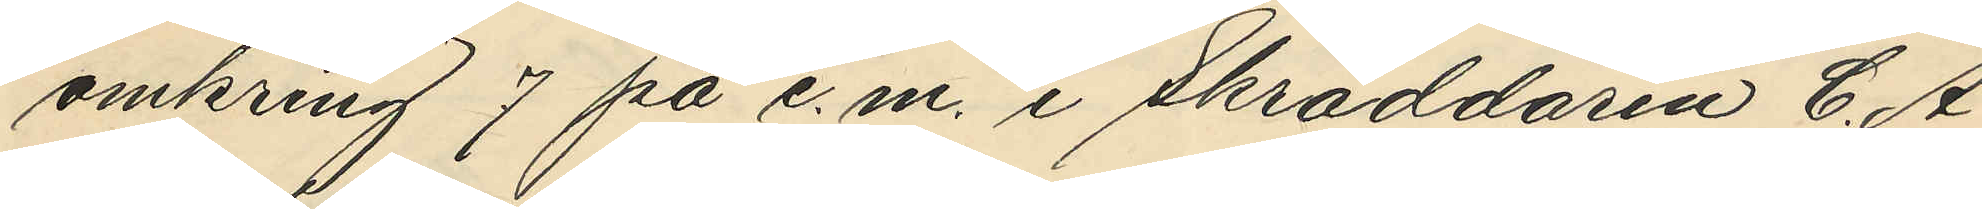omkring 7 på e.m. i Skräddaren C. A.
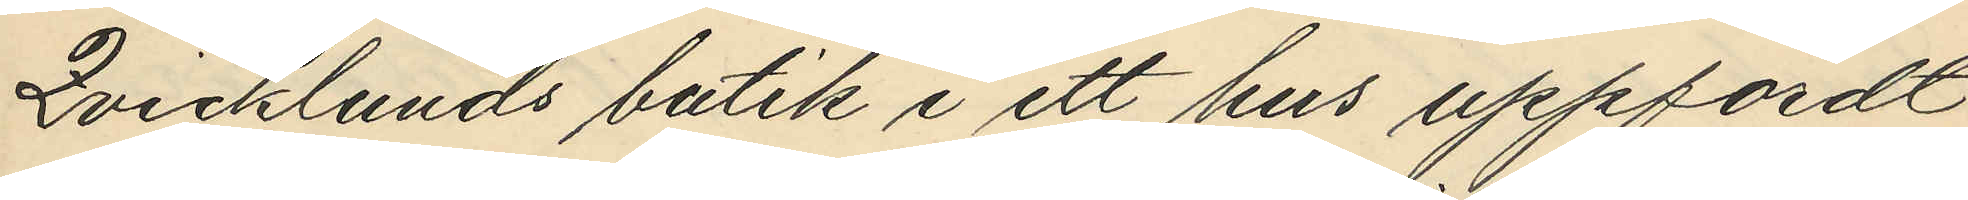Qvicklunds butik i ett hus uppfördt
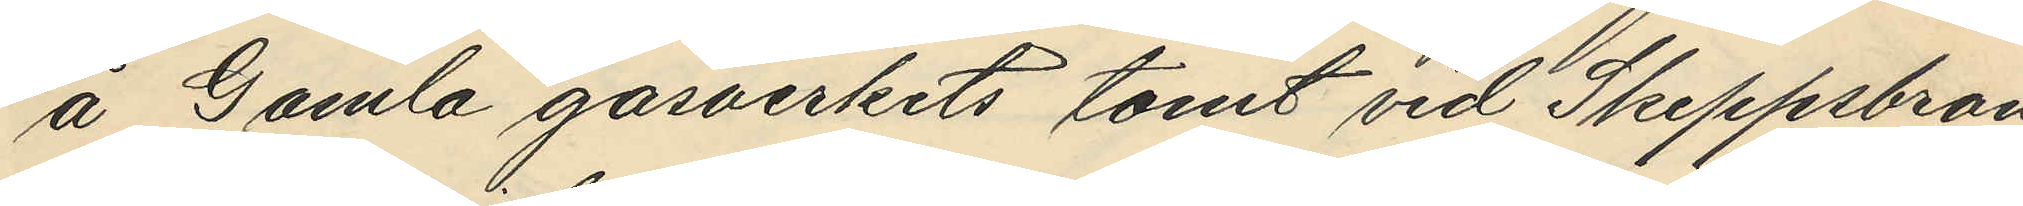å Gamla gasverkets tomt vid Skeppsbron
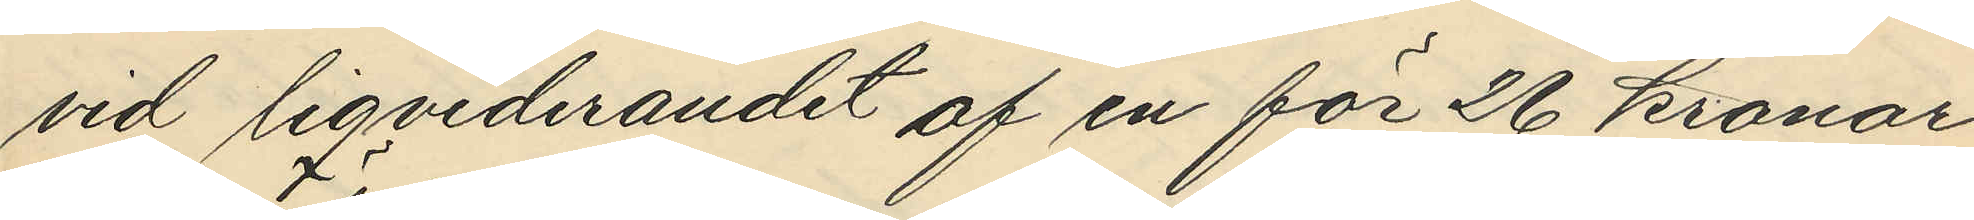vid liqviderandet af en för 26 kronor
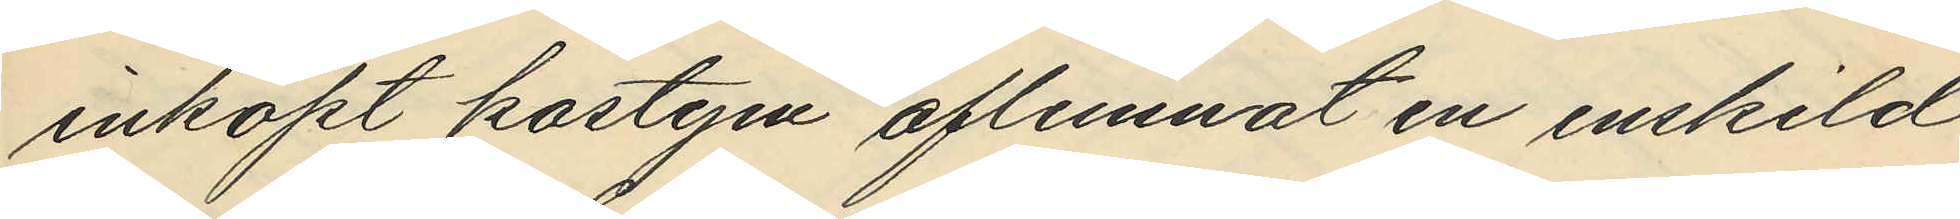inköpt kostym aflemnat en enskild
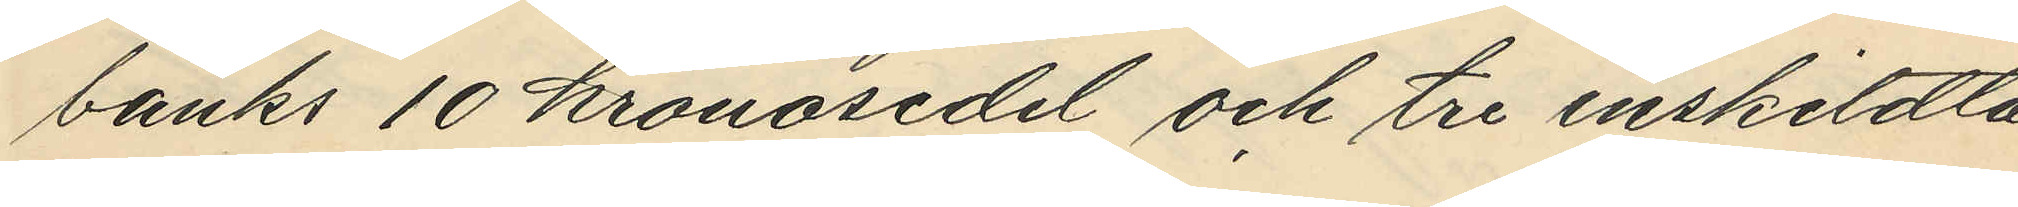banks 10 kronosedel och tre enskildta
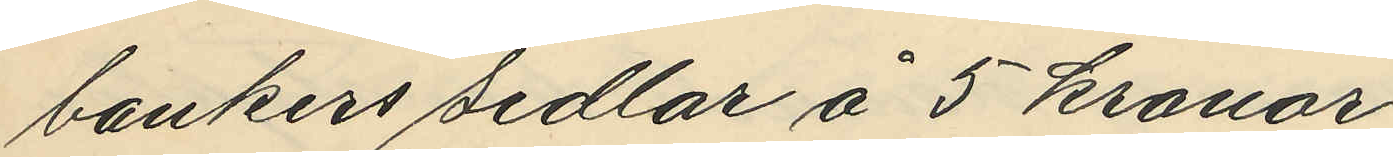bankers sedlar å 5 kronor;
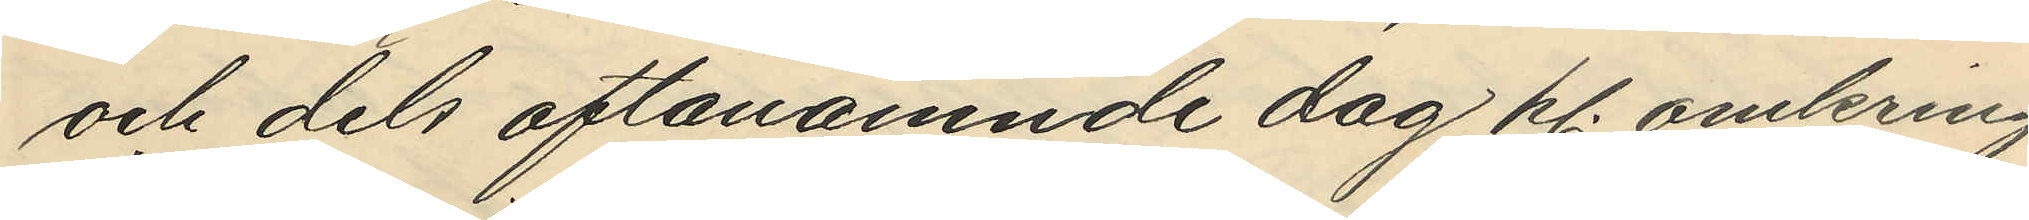och dels oftanämnde dag kl. omkring
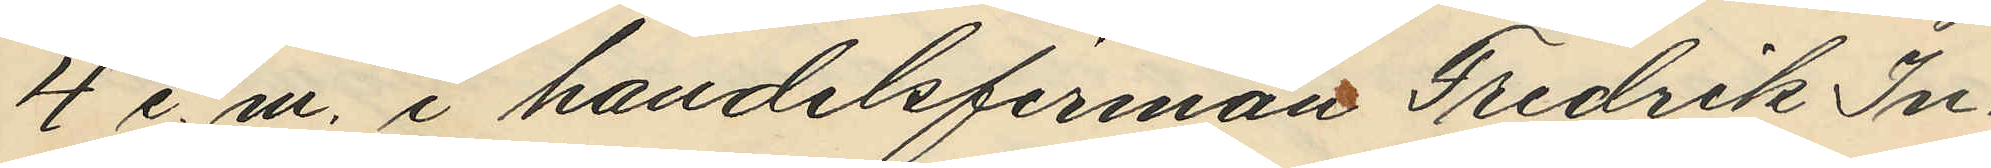4 e.m. i handelsfirman Fredrik In¬
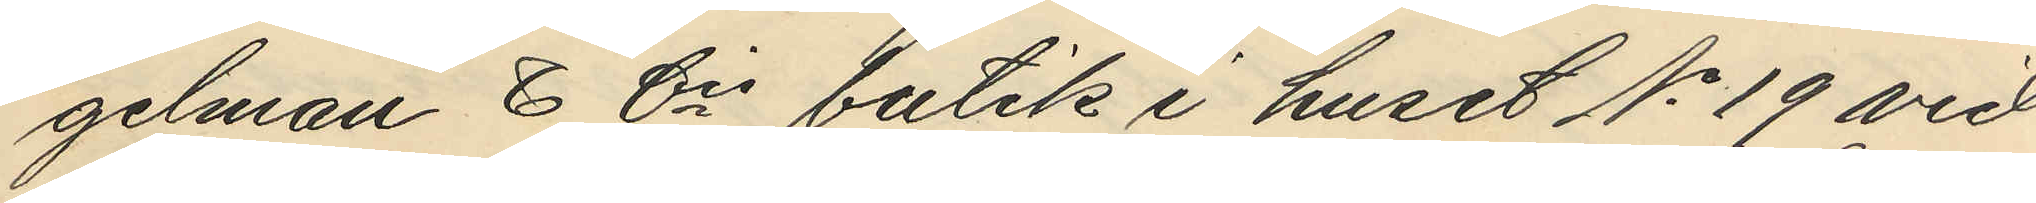gelman & Cis butik i huset No 19 vid
